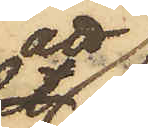att
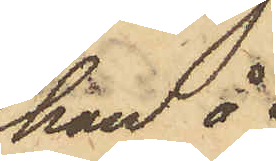han å
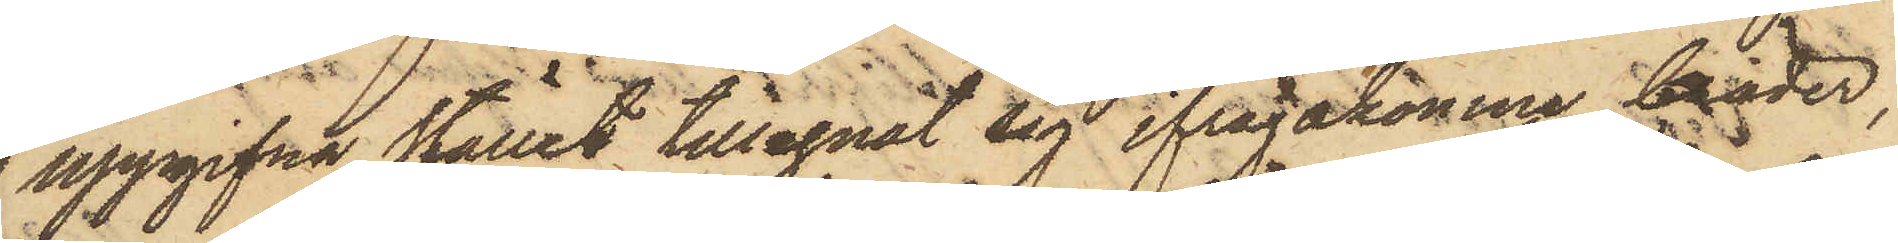uppgifva stället tillegnat sig ifrågakomne bräder,
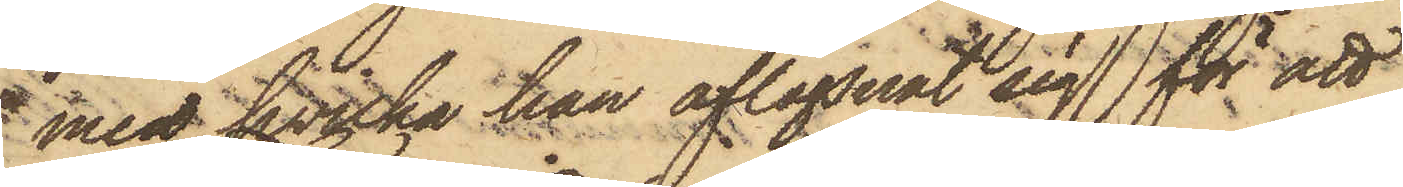med hvilka han aflägsnat sig för att
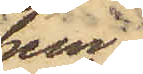hem¬
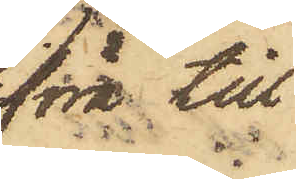föra till
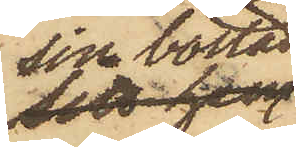sin bostad,
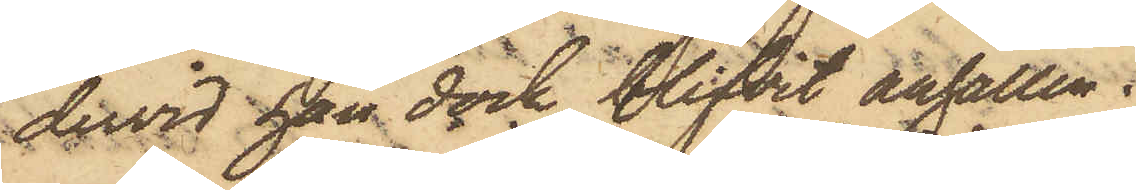dervid han dock blifvit anhållen.
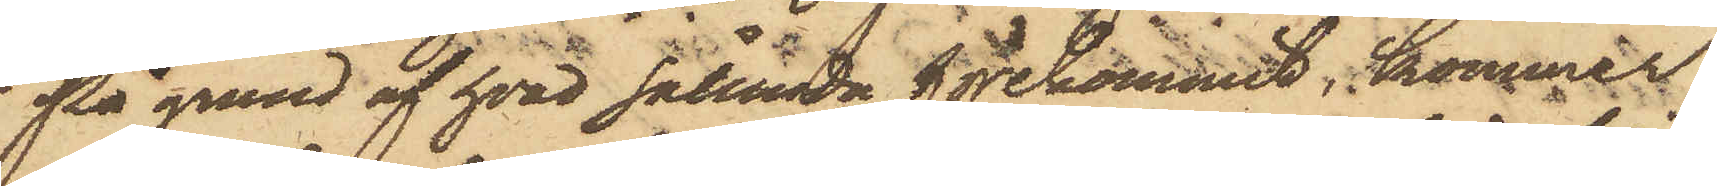På grund af hvad sålunda förekommit, kommer
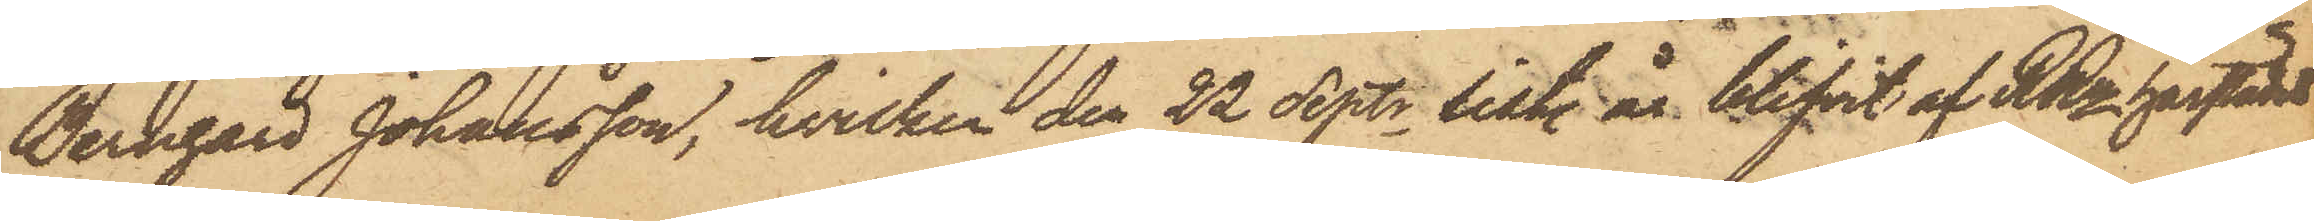Bernhard Johansson, hvilken den 22 Septr sist. år blifvit af RRn härstädes
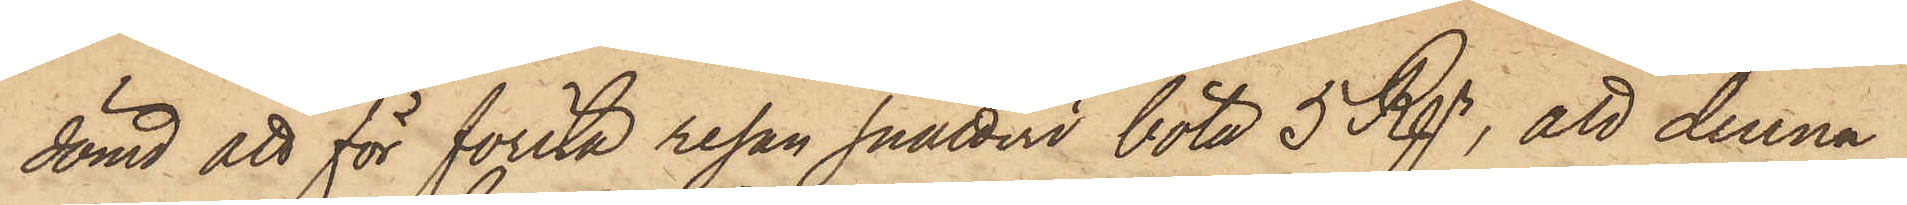dömd att för första resan snatteri böta 5 Rgr, att denna
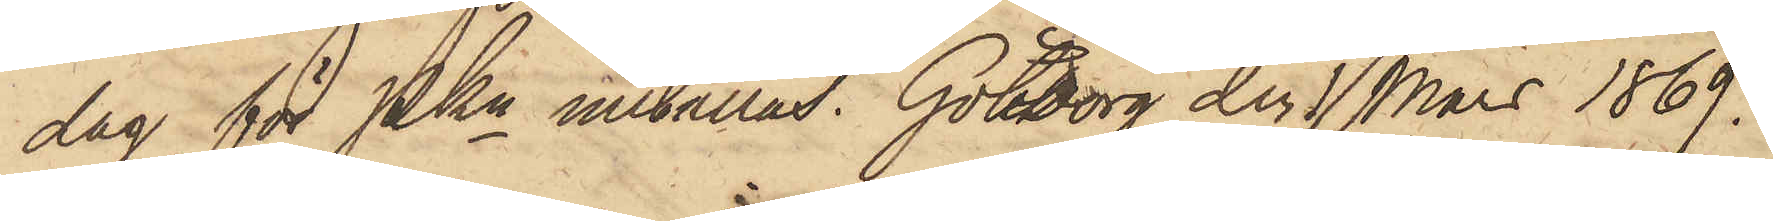dag för PKn inställas. Göteborg den1 Mars 1869.
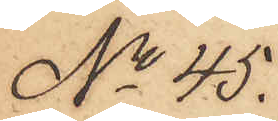No 45.
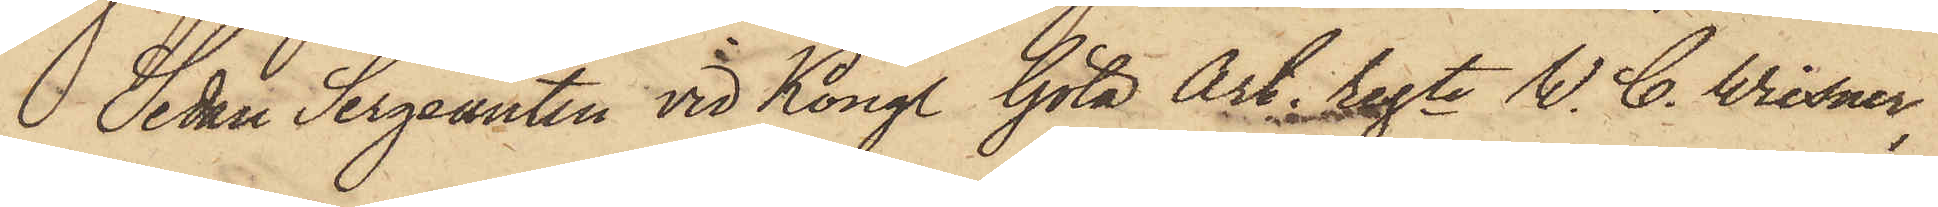Sedan Sergeanten vid Kongl. Göta Art. regte W. C. Wiesner,
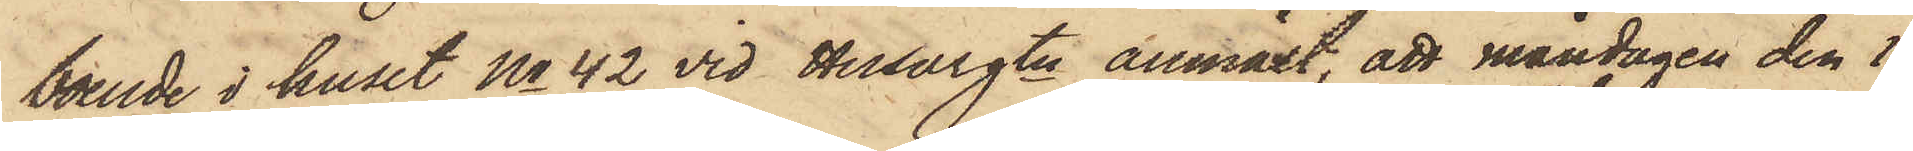boende i huset No 42 vid Husargtn anmält, att måndagen den 1
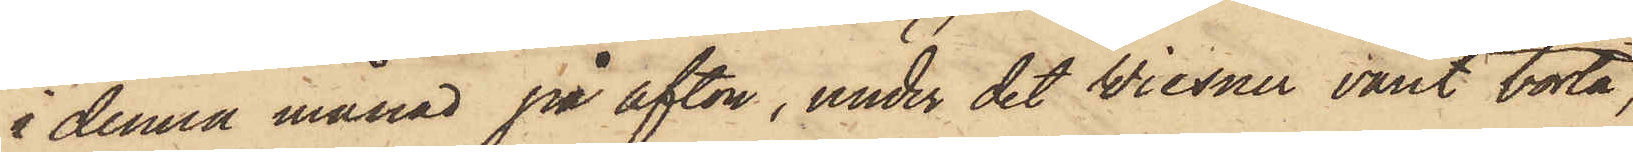i denna månad på afton, under det Wiesner varit borta,
